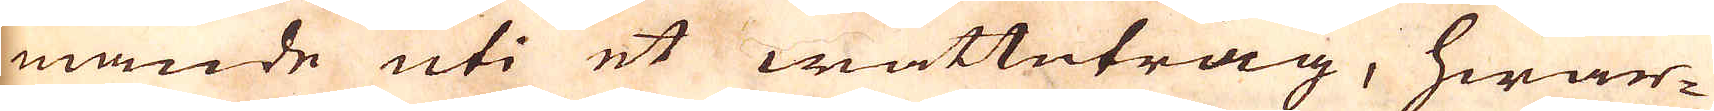mande uti et wattutråg, hwar-
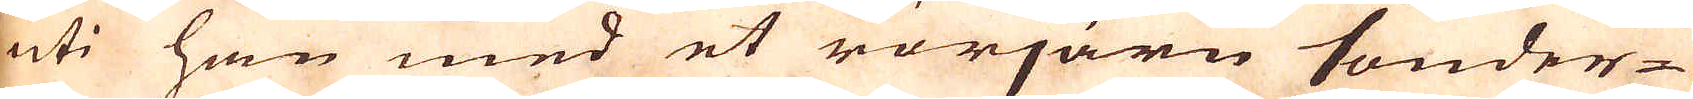uti han med et rörjärn sönder-
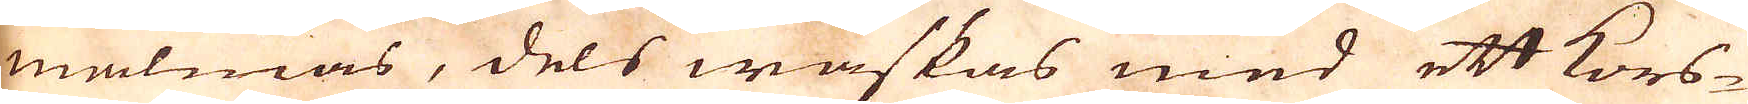malmas, dels waskas med ett kors-
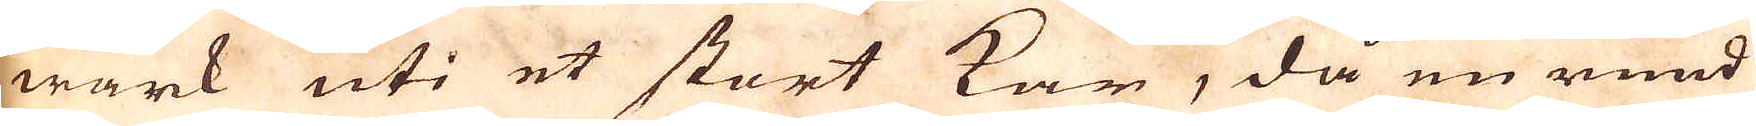wärk uti et stort kar, då en rund
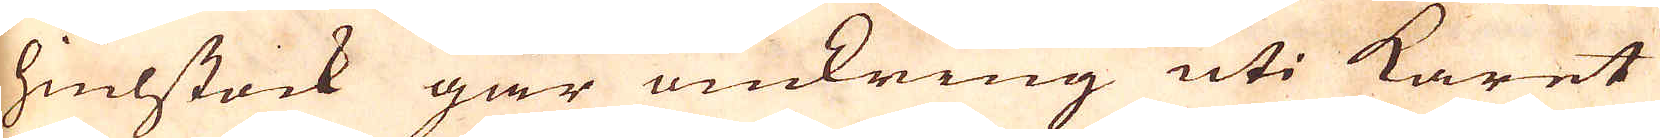hiulstock går omkring uti karet
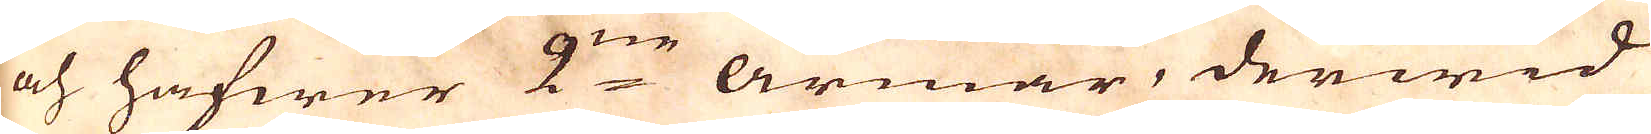och hafwer 2:ne armar, derwid
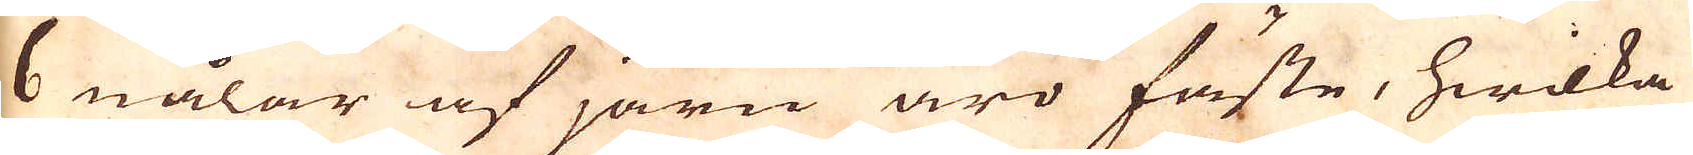6 nålar af järn äro fäste, hwilka
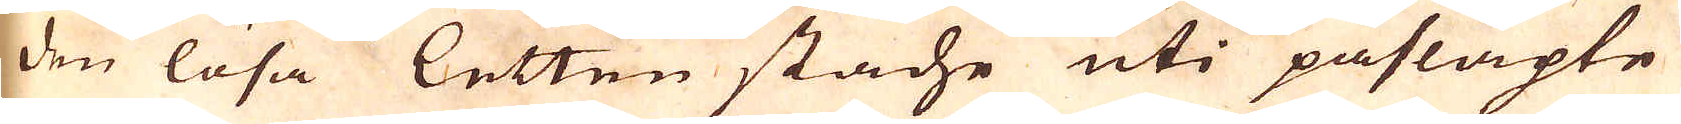den lösa letten stäche uti påsläpte
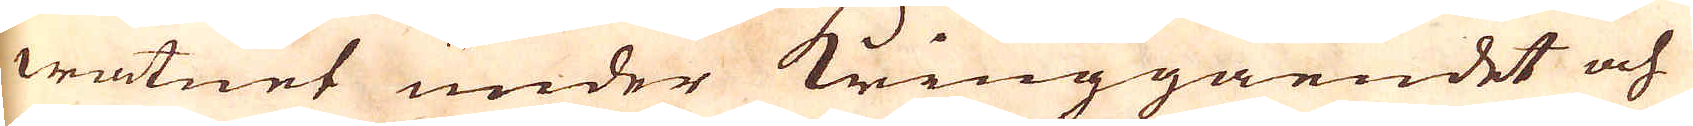watnet under kringgåendet och
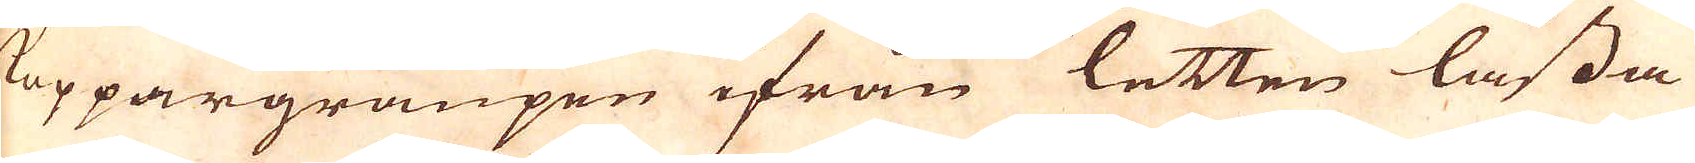Koppargraupen ifrån letten låssa
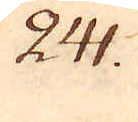241.
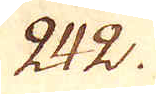242.
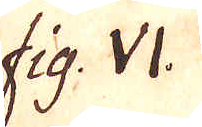fig. VI.
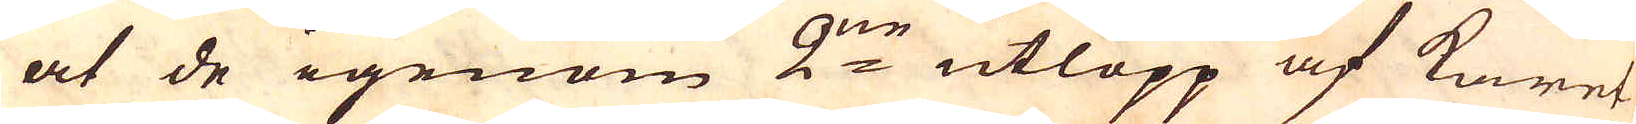at de igenom 2:ne utlopp af karet
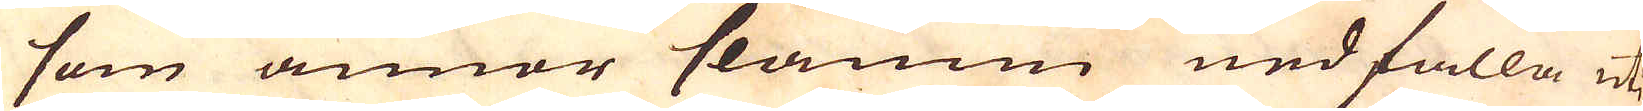som annor slamm ned falla uti
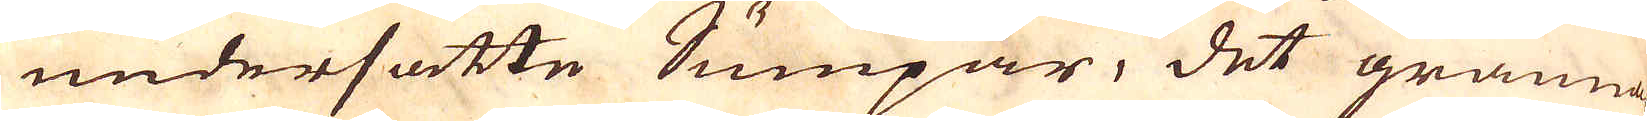undersatte Sumpar, det granna-
